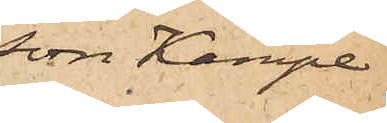son Kämpe
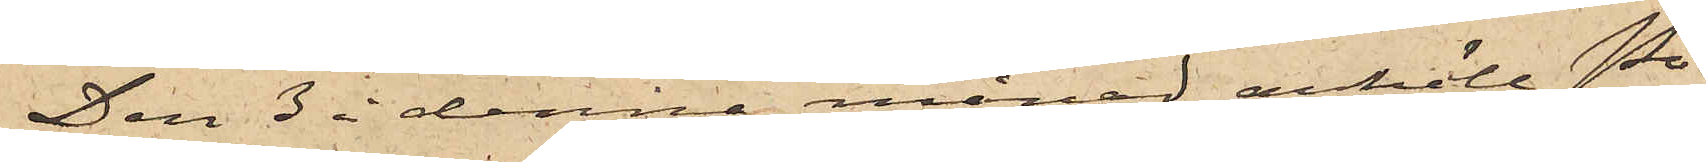Den 3 i denna månad anhöll Po¬
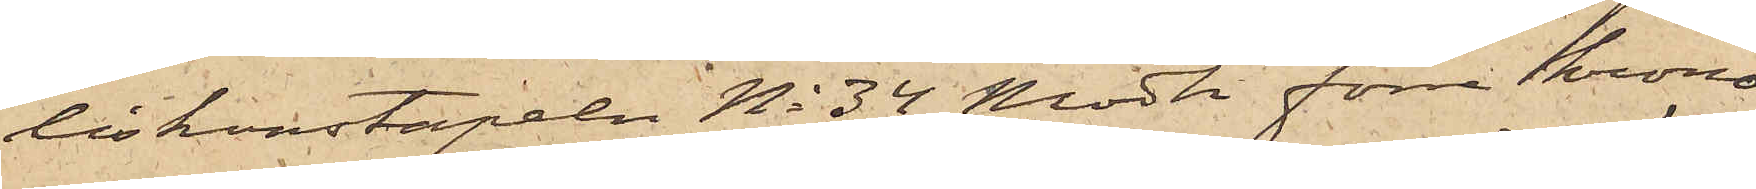liskonstapeln No 34 Modh förre krono¬
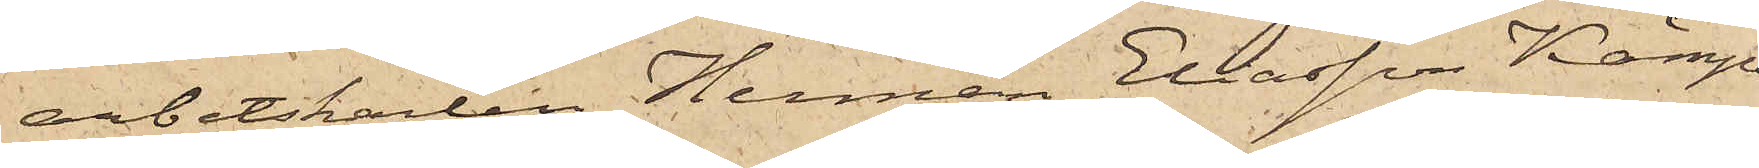arbetskarlen Herman Eliasson Kämpe,
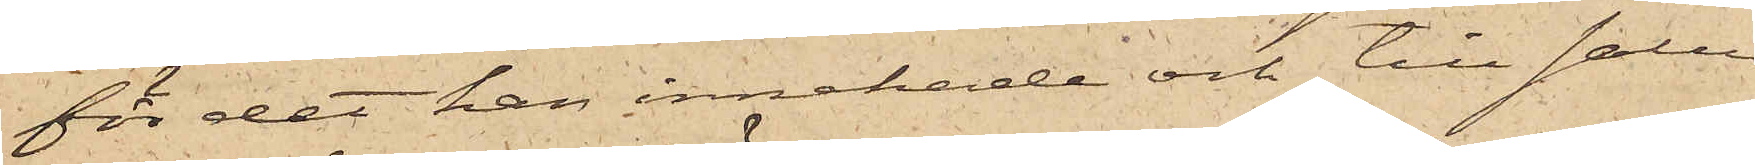för det han innehade och till salu
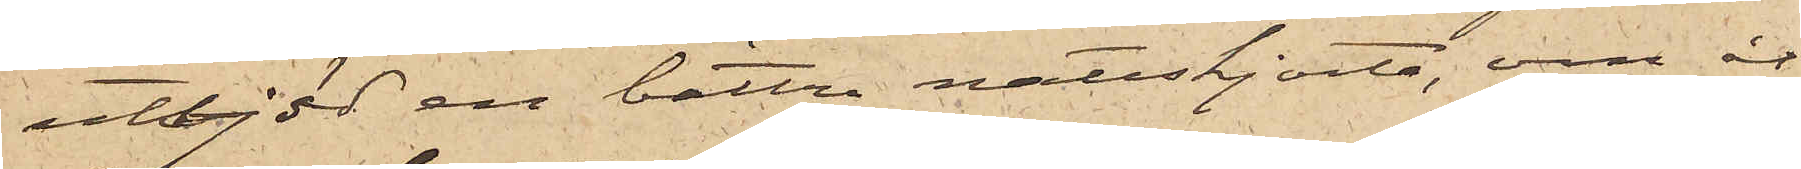utbjöd en bättre nattskjorta, om åt¬
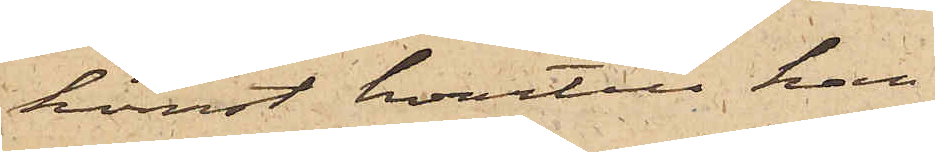komst hvartill han
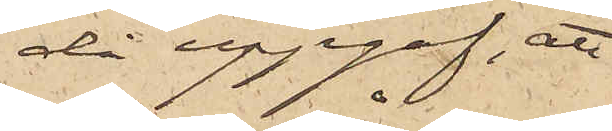då uppgaf, att
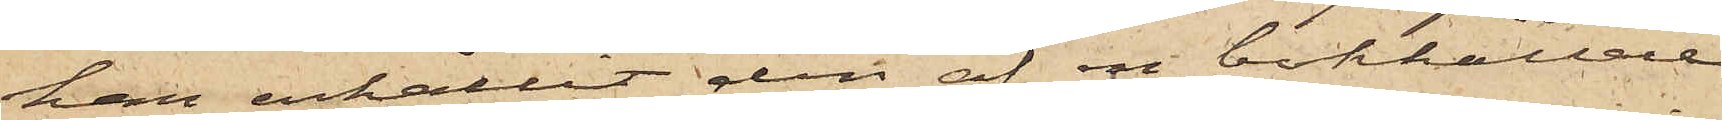han erhållit den af en bokhållare,
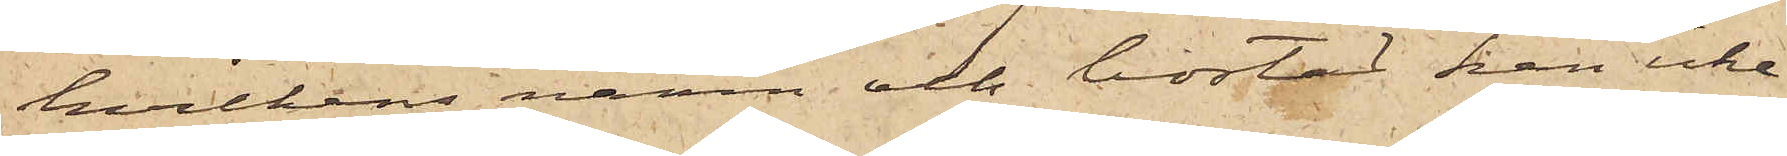hvilkens namn och bostad han icke
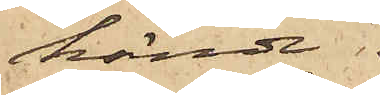kände.
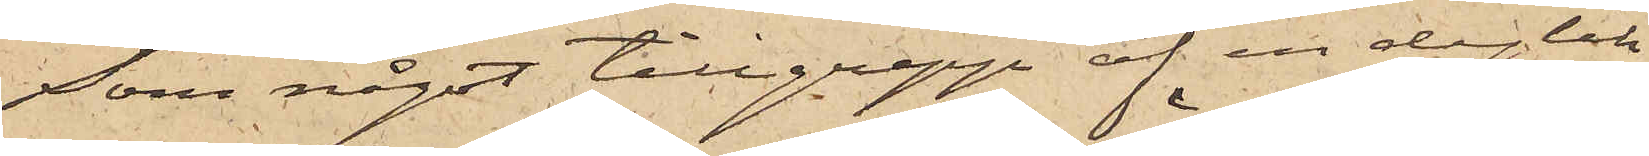Som något tillgrepp af en dylik
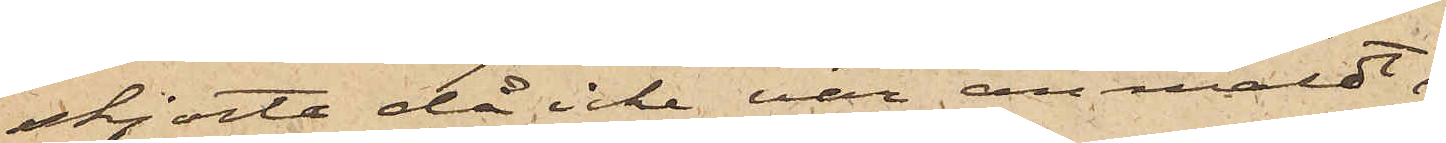skjorta då icke var anmäldt,
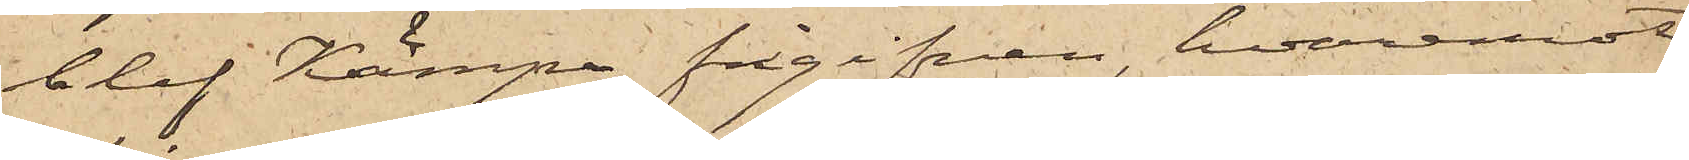blef Kämpe frigifven, hvaremot
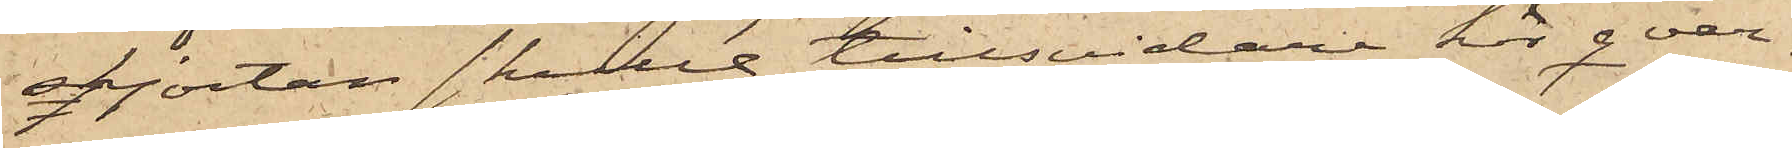skjortan skulle tillsvidare här qvar¬
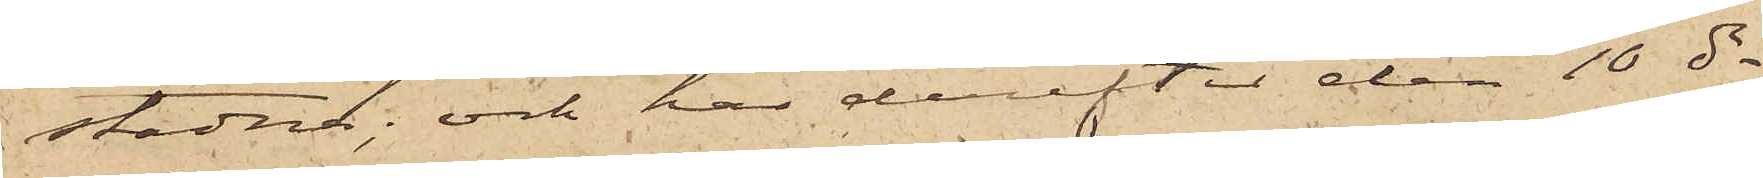stadna; och har derefter den 10 ds
